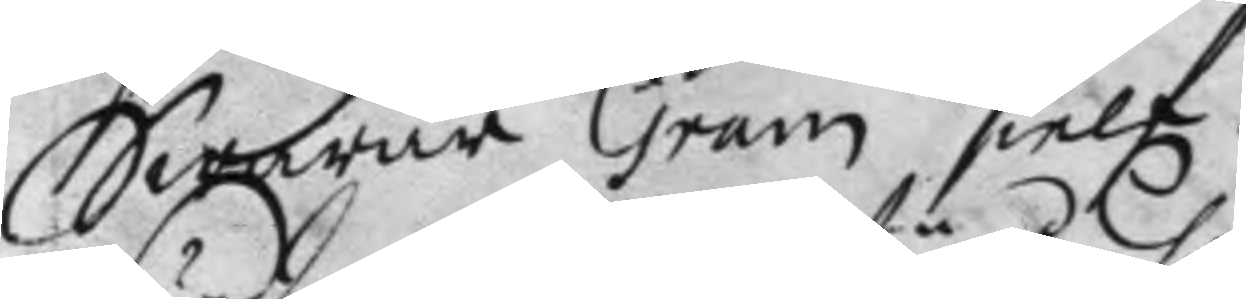Swarar Gram sielf.
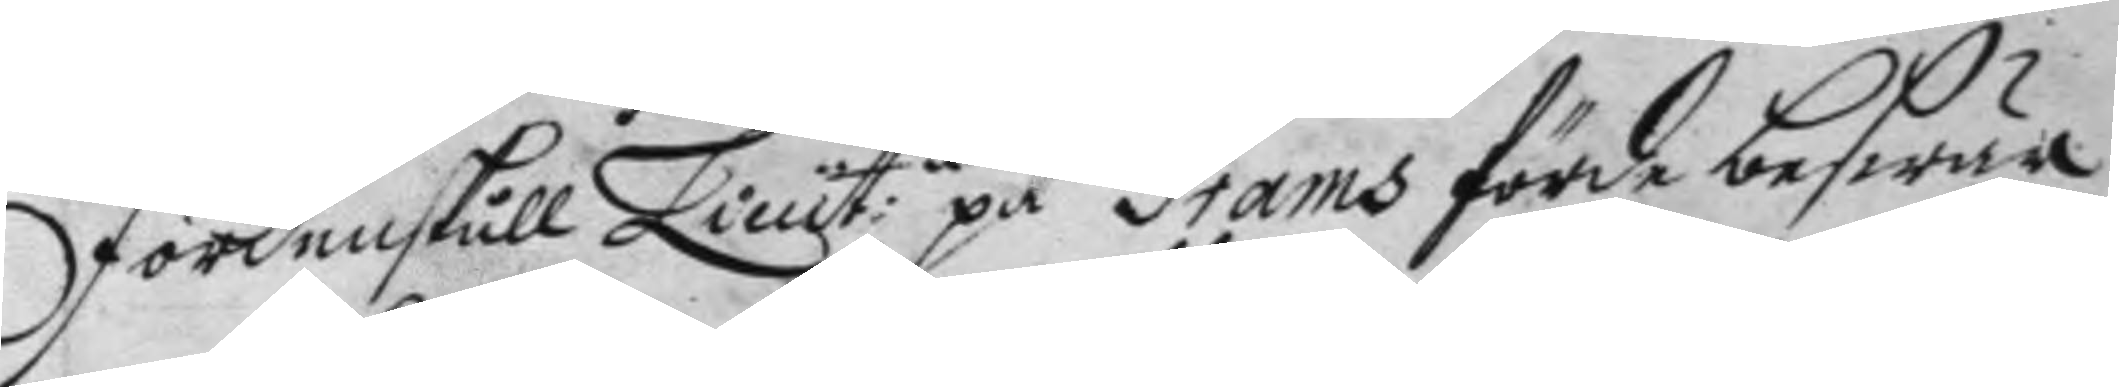Fördenskull Lieut:n på Grams förde beswär
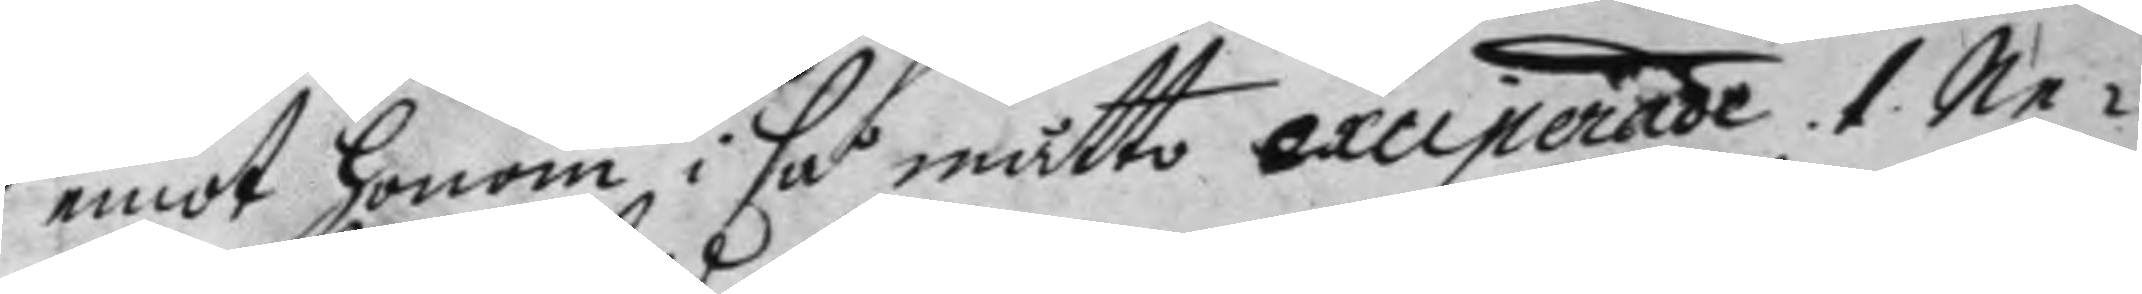emot honom i så måtto exciperade. 1. Ne¬
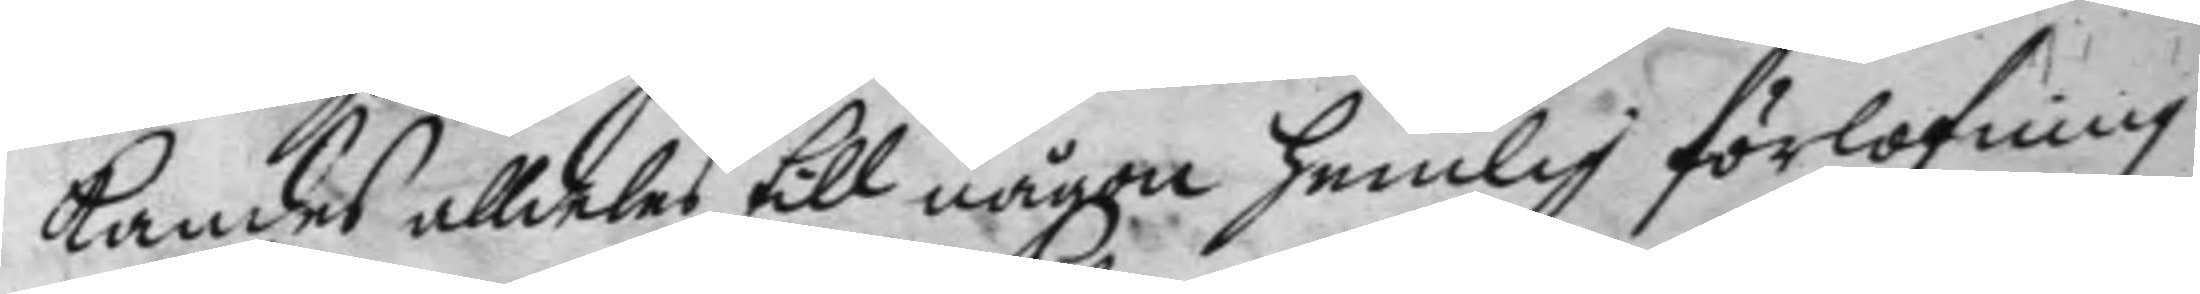kandes alldeles till någon hemlig förlofning
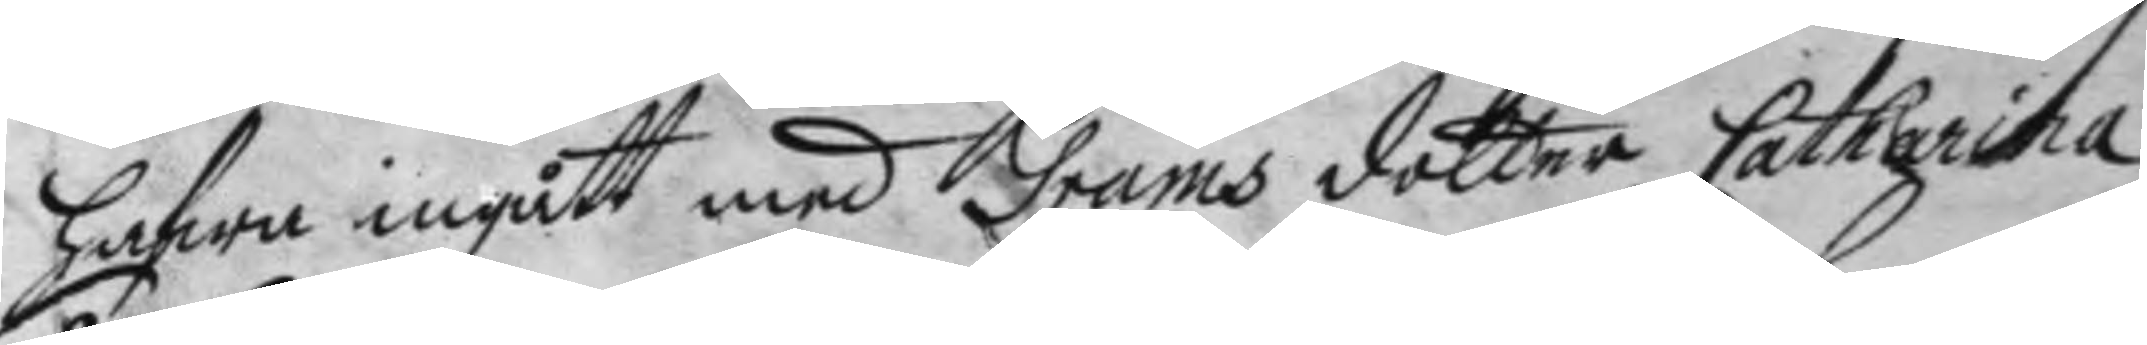hafwa ingått med Grams dotter Catharina.
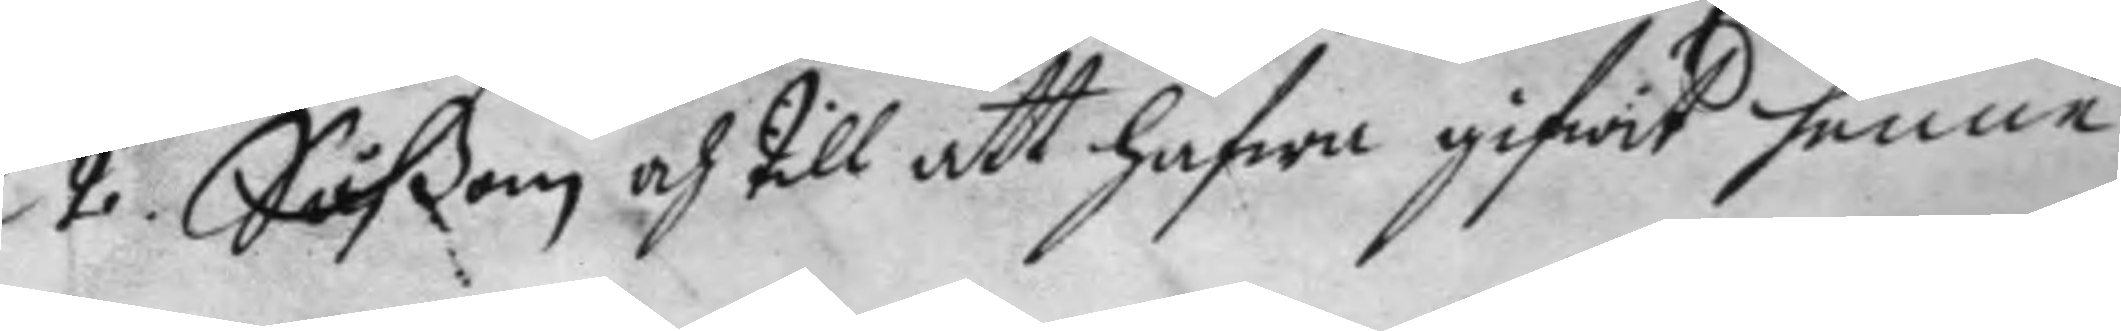2. Såßon och till att hafwa gifwit henne
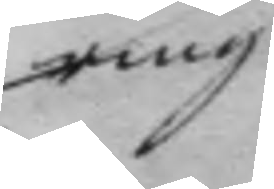ring
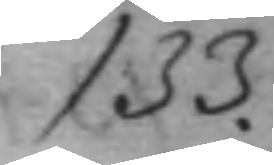133.
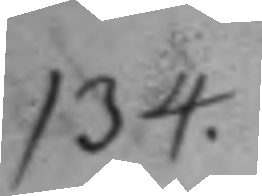134.
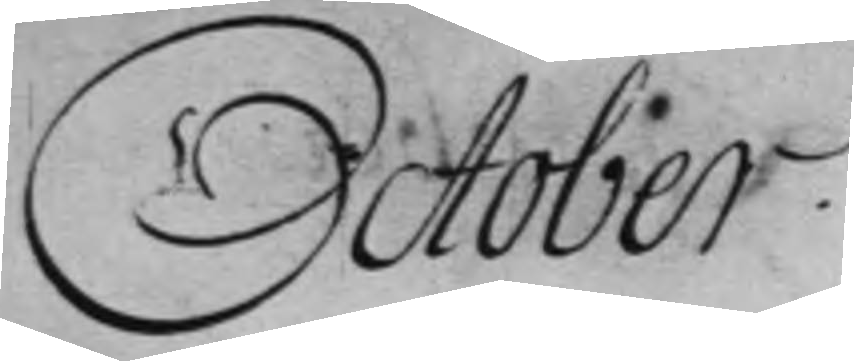October.
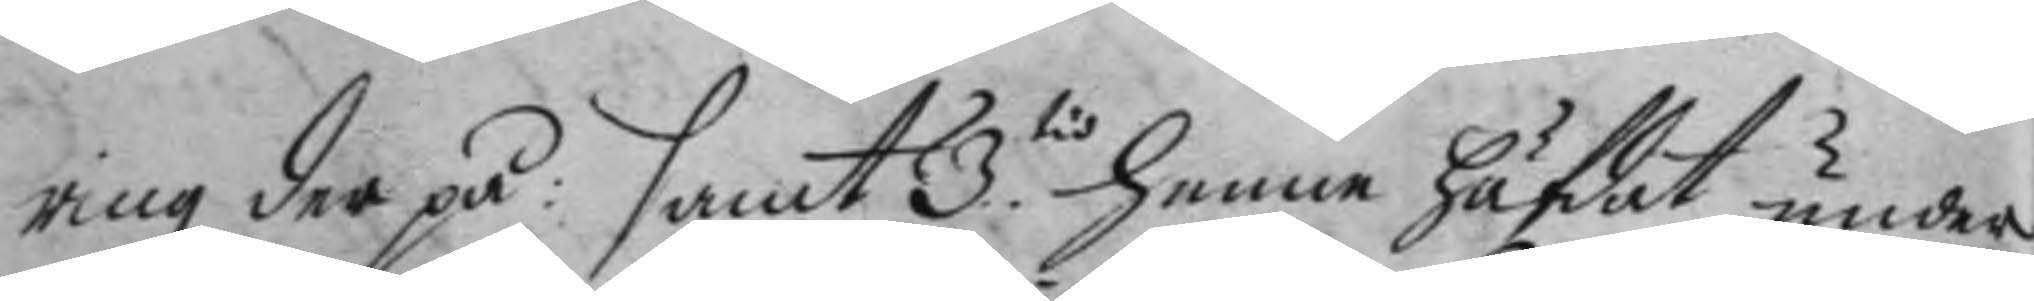ring der på: samt 3.tio henne häfdat under
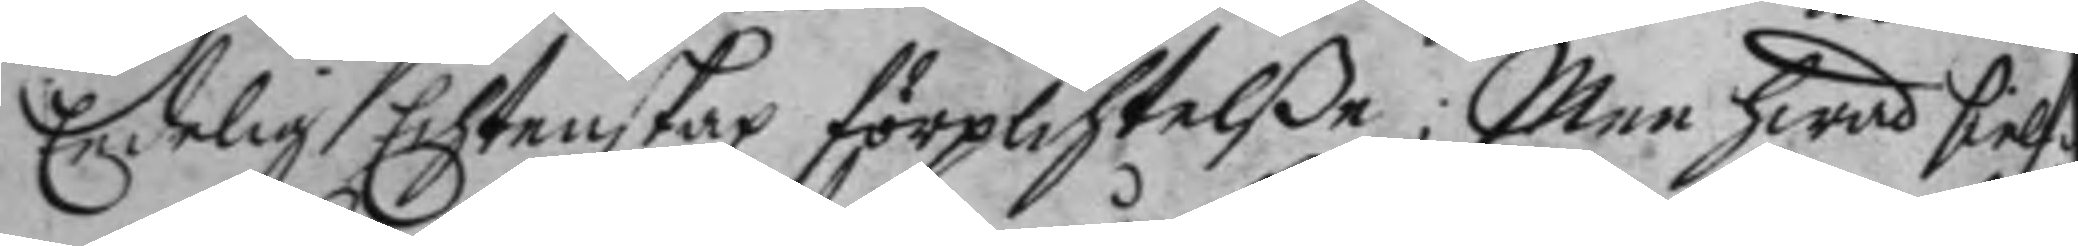Eedelig Echtenskap förplichtelße; Men hwad sielf¬
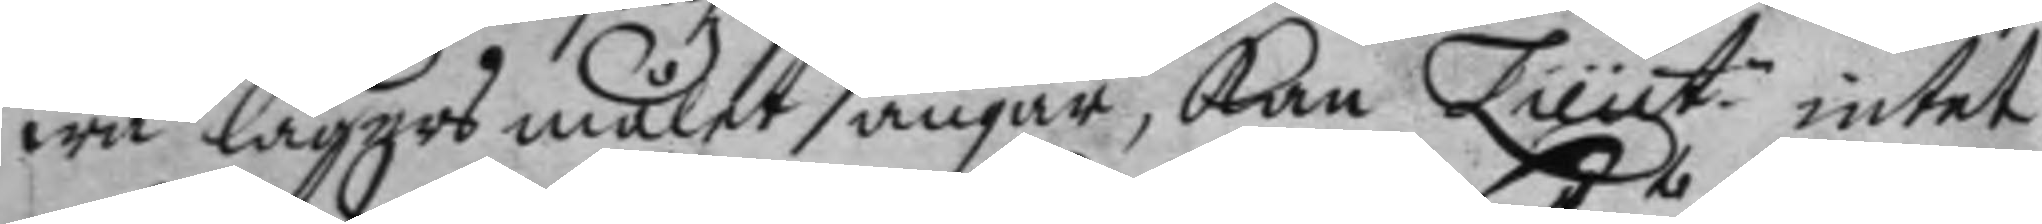wa lägers målet angår, kan Lieut:n intet
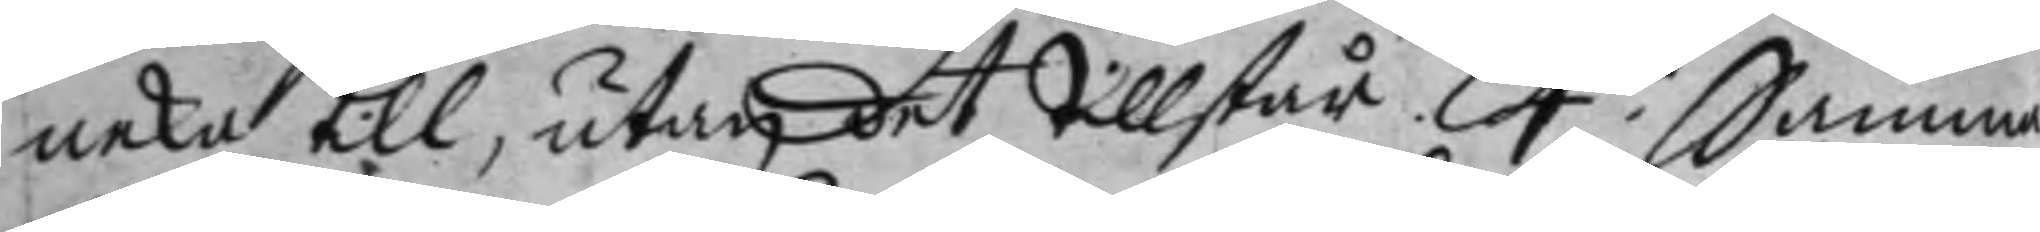neka till, utan det tillstår. 4.to Samma¬
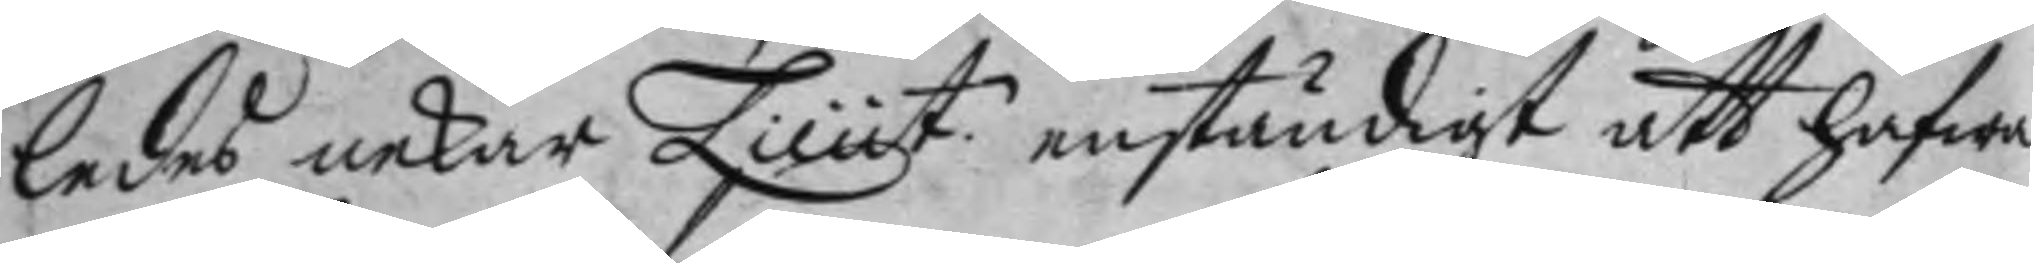ledes nekar Lieut.n enständigt att hafwa
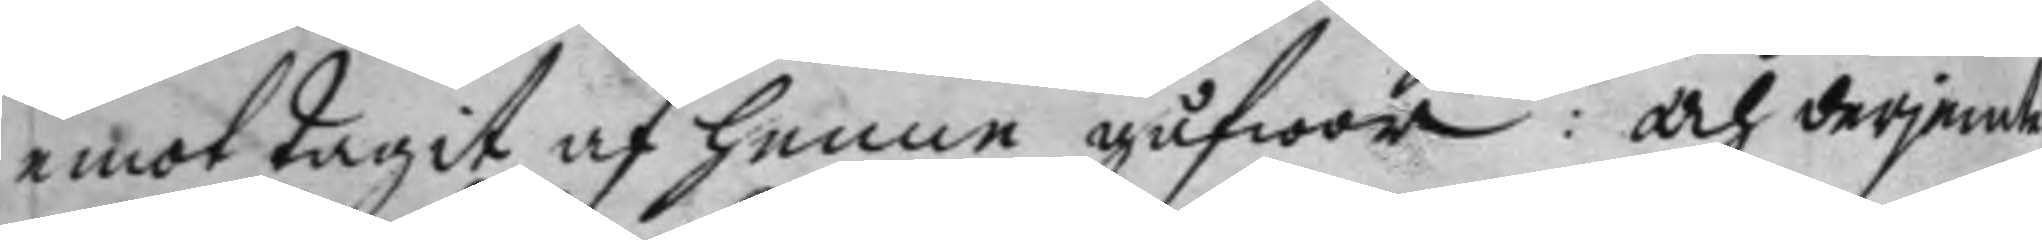emottagit af henne gåfwor: och derjemte
